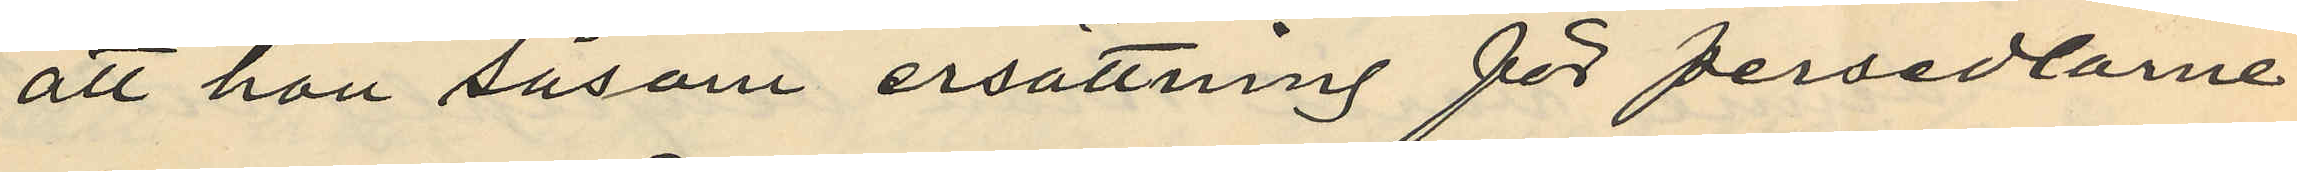att han såsom ersättning för persedlarne
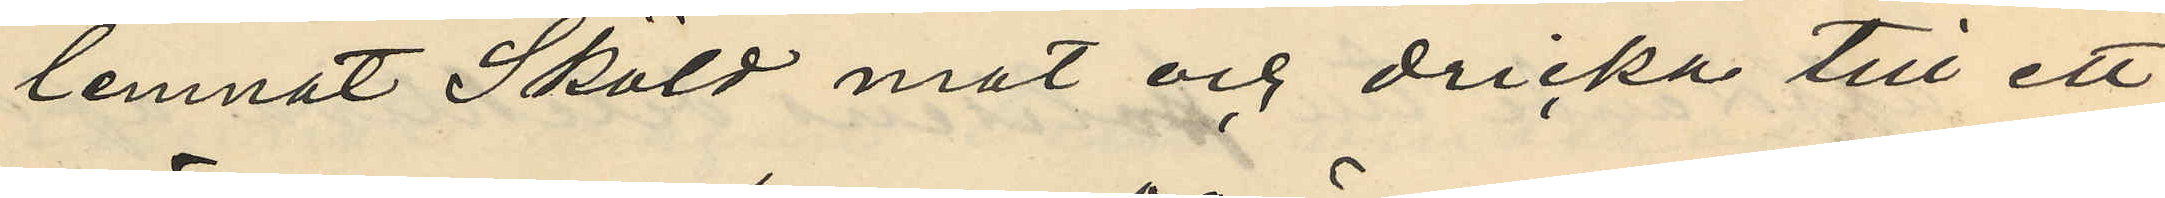lemnat Sköld mat och dricka till ett
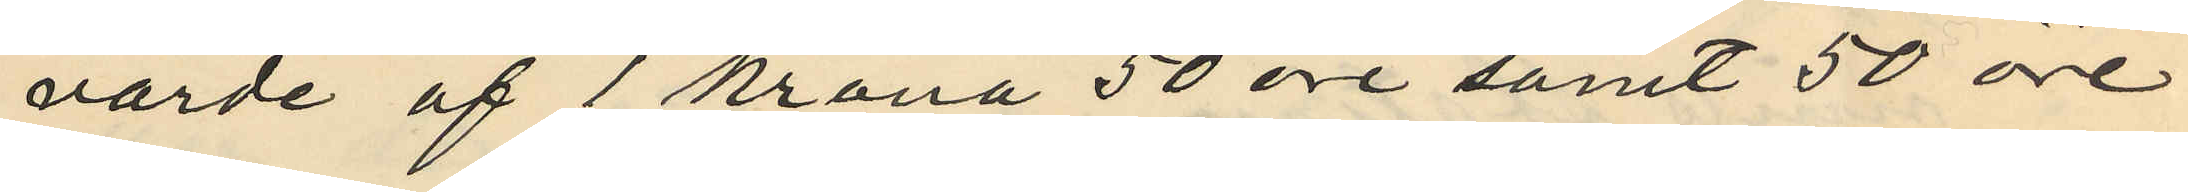värde af 1 krona 50 öre samt 50 öre
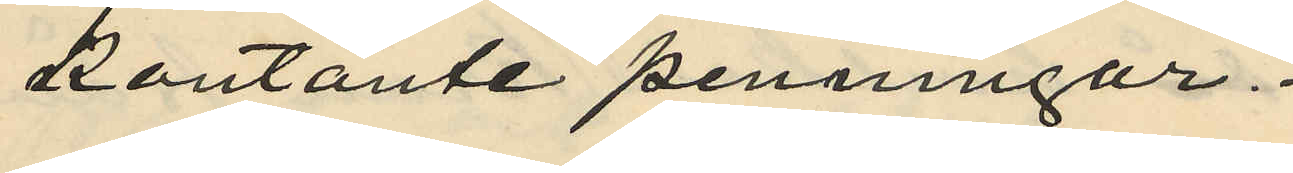kontante penningar.
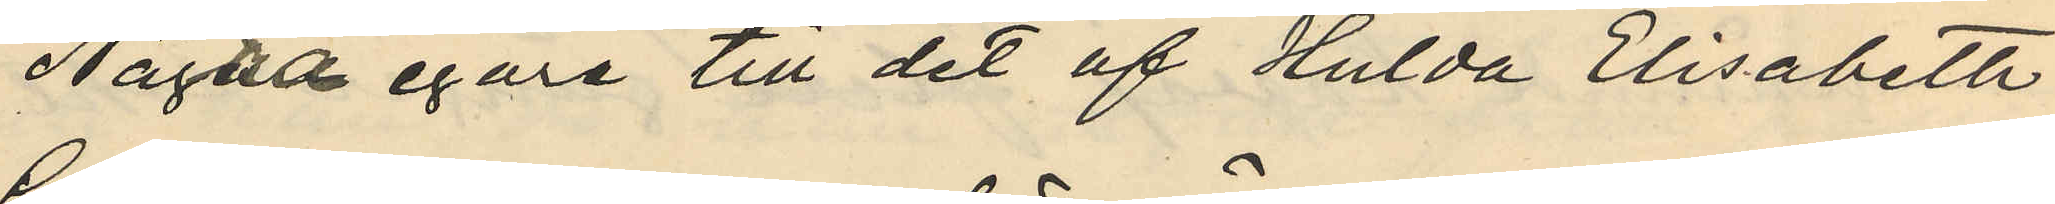Några egare till det af Hulda Elisabeth
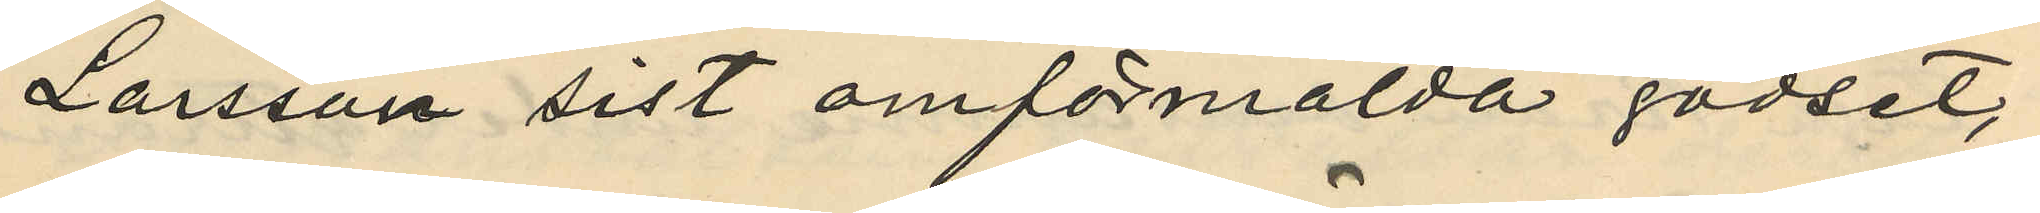Larsson sist omförmälda godset;
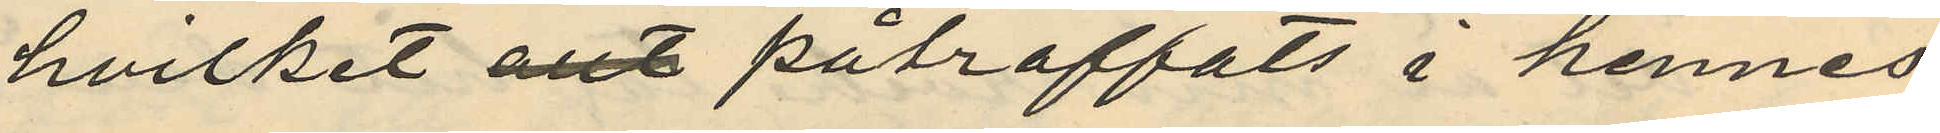hvilket påträffats i hennes
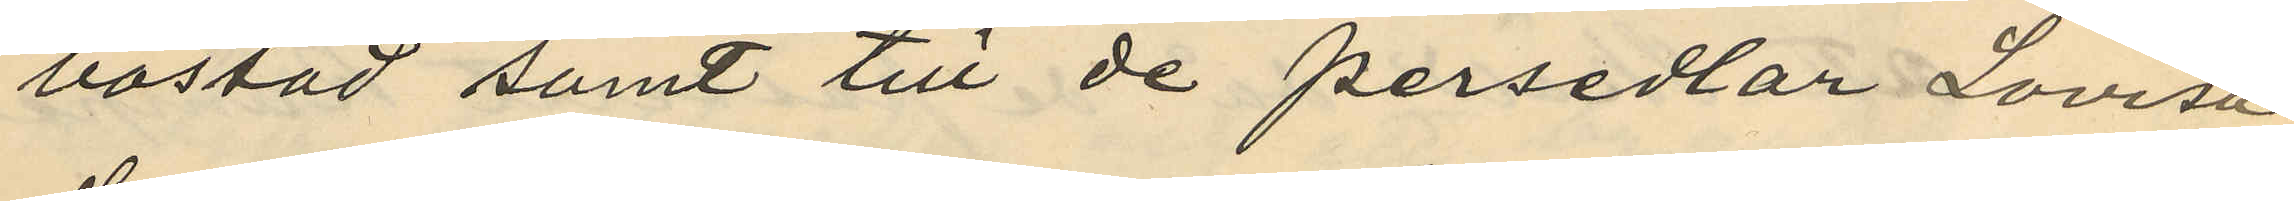bostad samt till de persedlar Lovisa
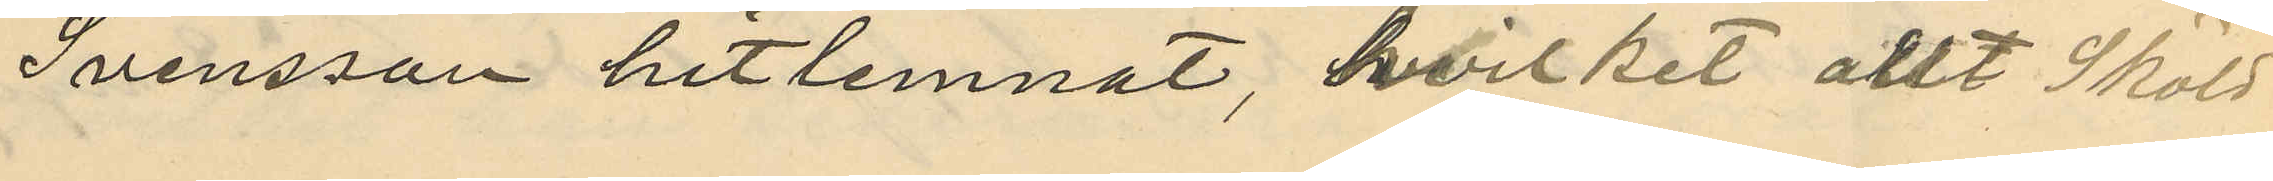Svensson hitlemnat, hvilket allt Sköld
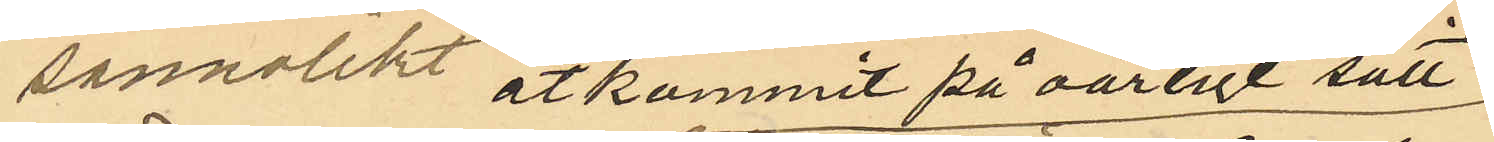sannolikt åtkommit på oärligt sätt
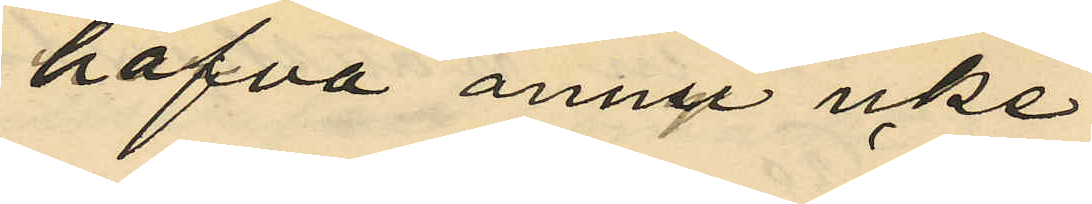hafva ännu icke
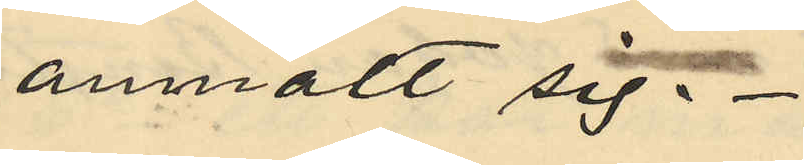anmält sig.
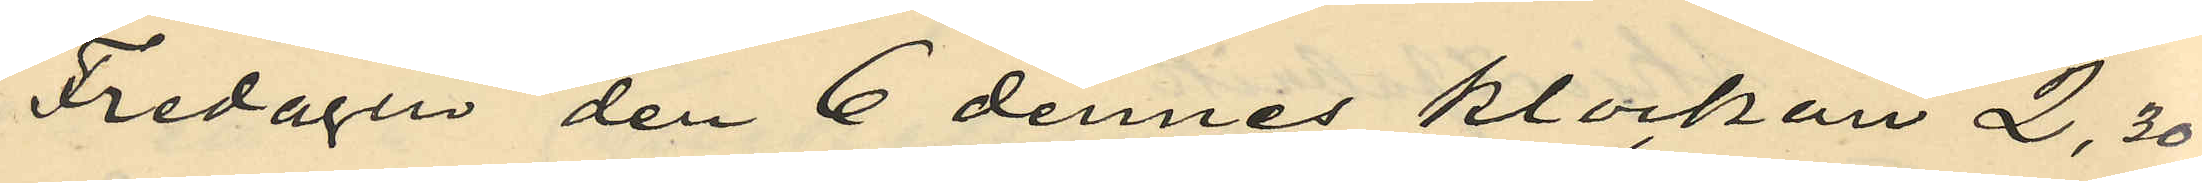Fredagen den 6 dennes klockan 2,30
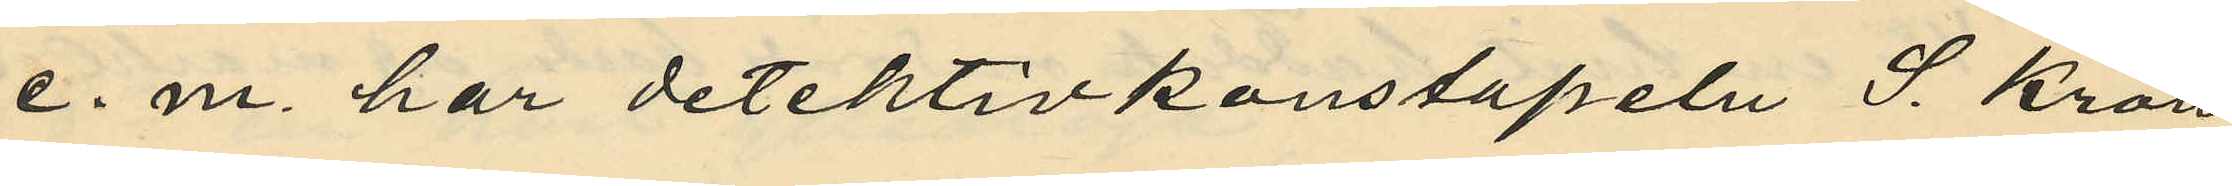e. m. har detektivkonstapeln S. Kron
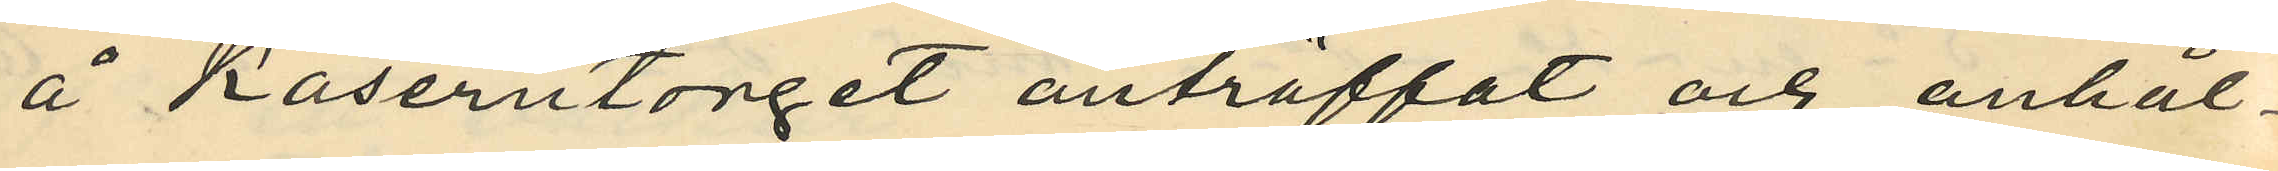å Kaserntorget anträffat och anhål¬
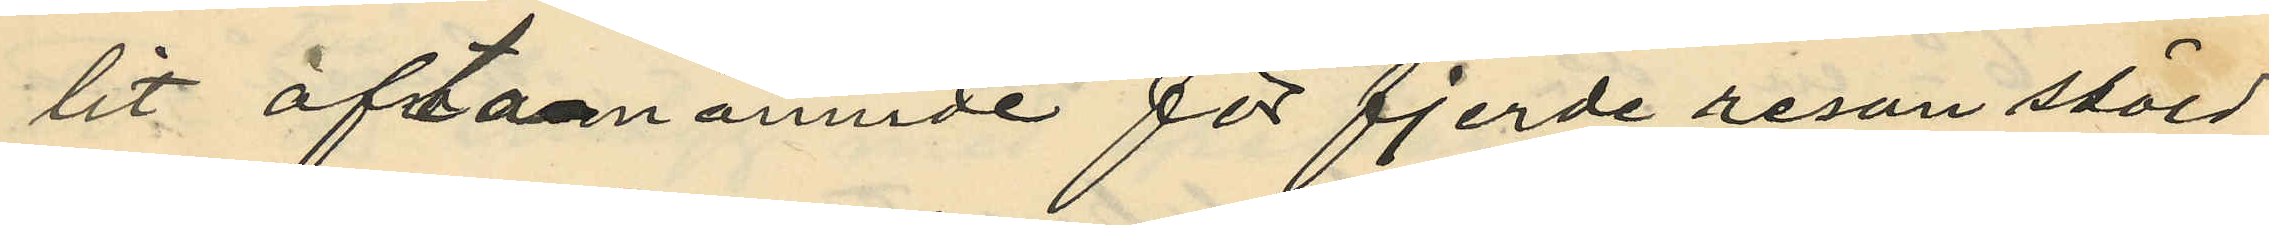lit oftanämnde för fjerde resan stöld
